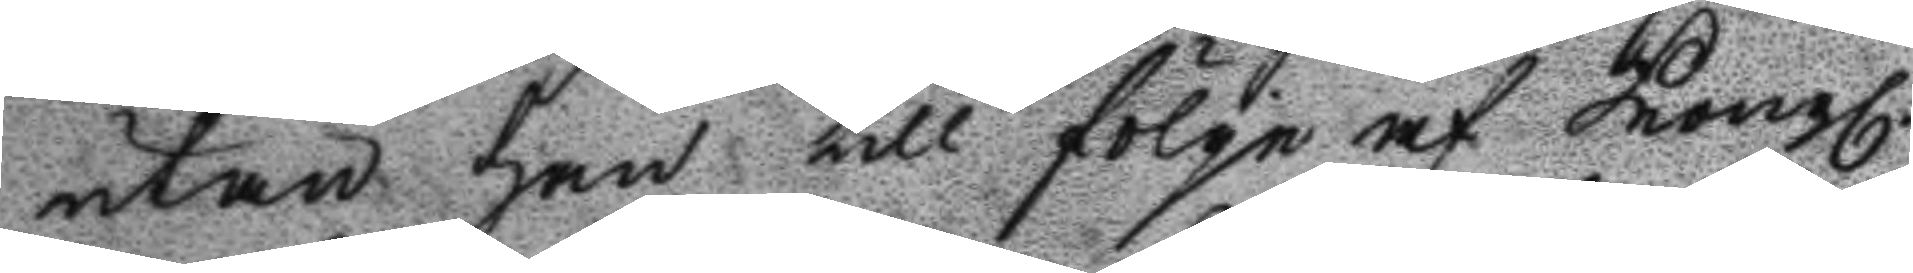utan han till fölge af Kongl.
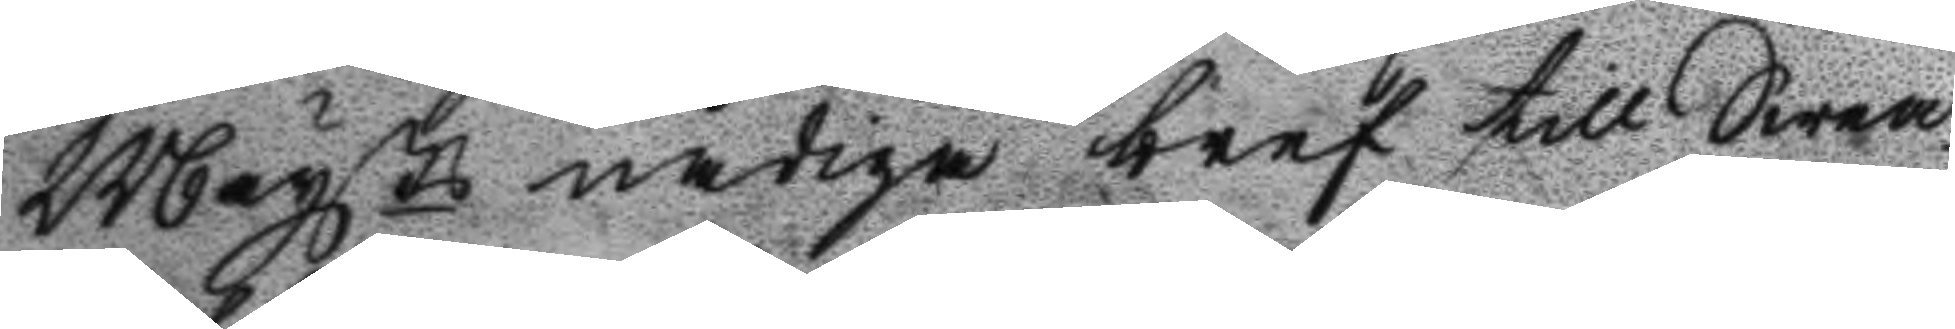Maysts nådiga bref till Swea
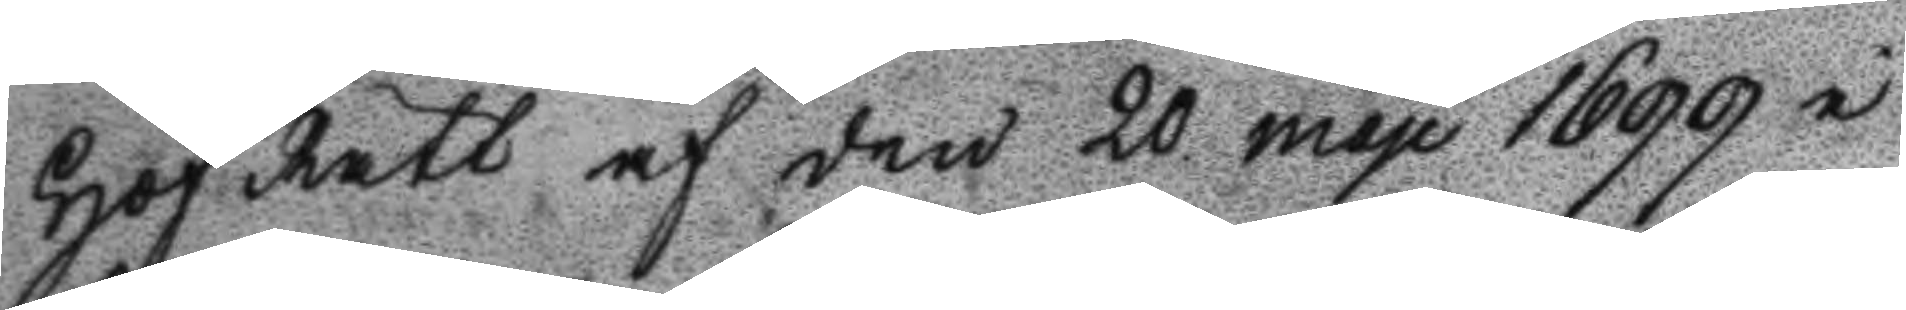Hof Rätt af den 20 mau 1699 i
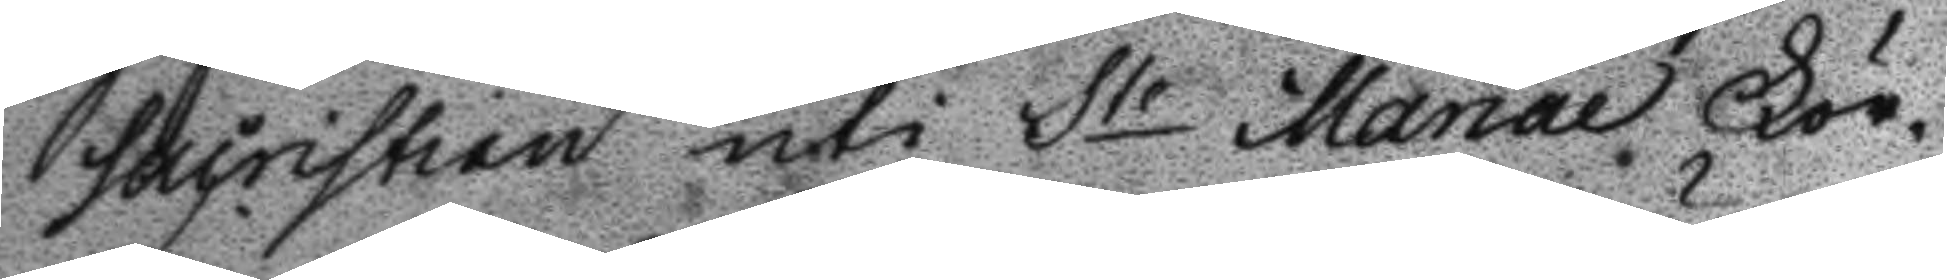sacristian uti St Mariae För¬
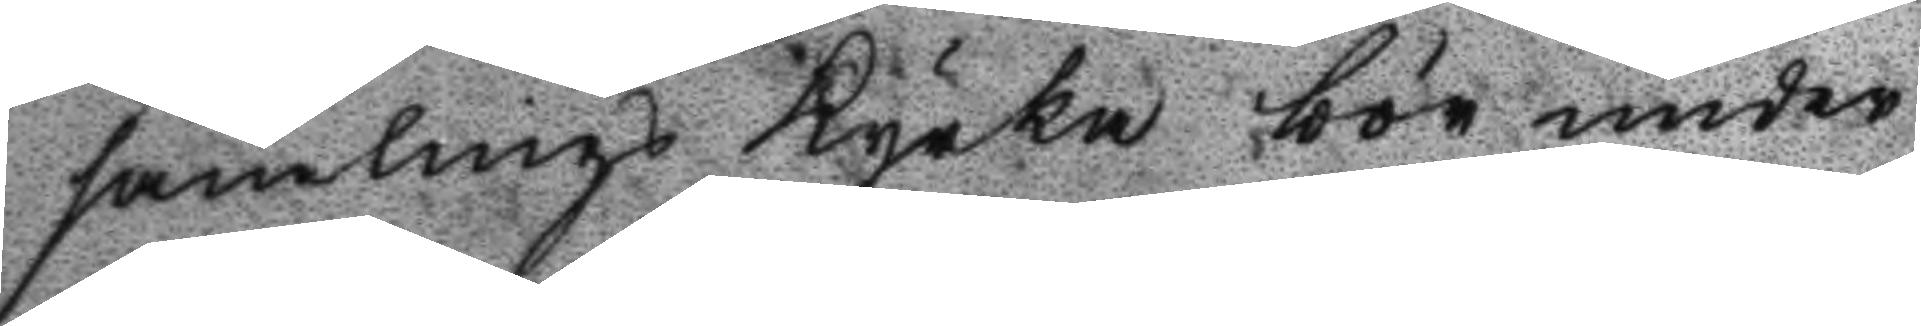samlings Kyrka bör under¬
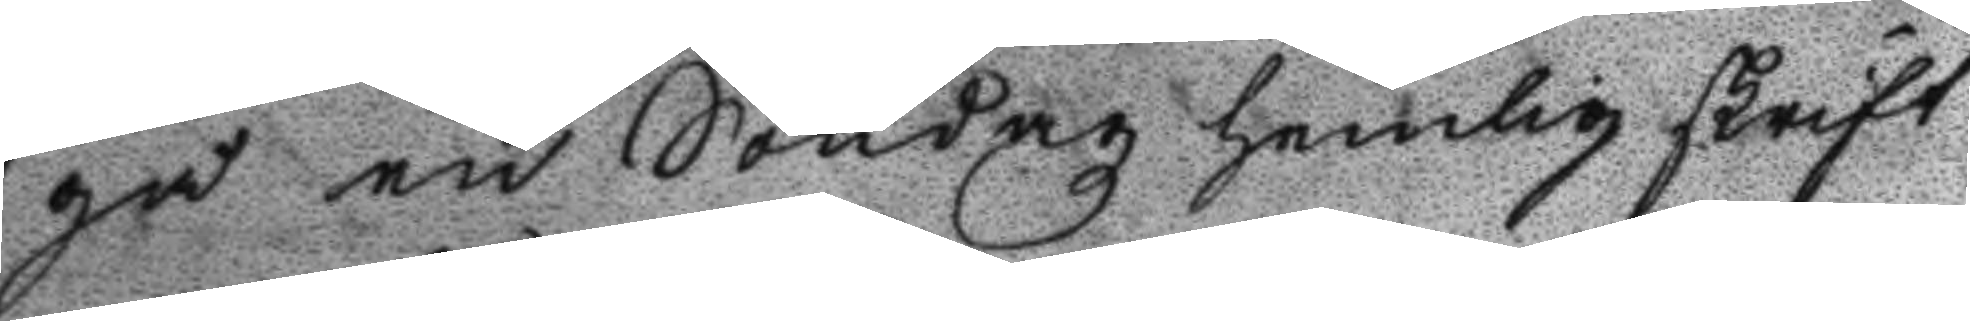gå en Söndagz hemlig skrift
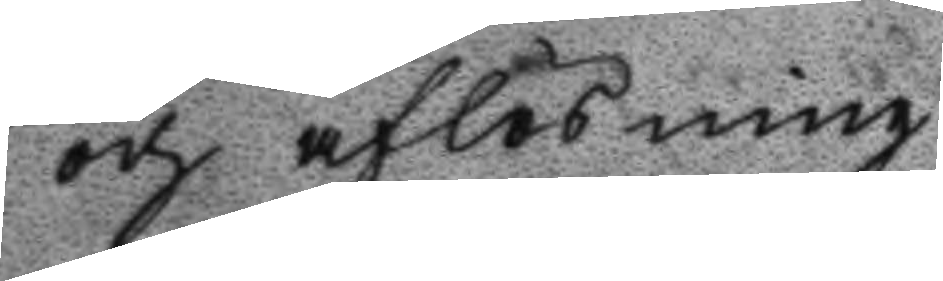och aflösning.
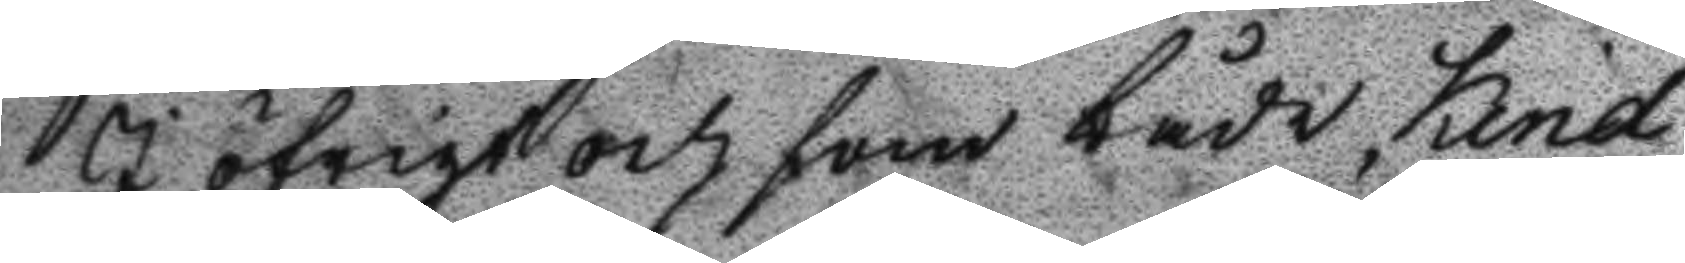I Öfrigt och som både Kind¬
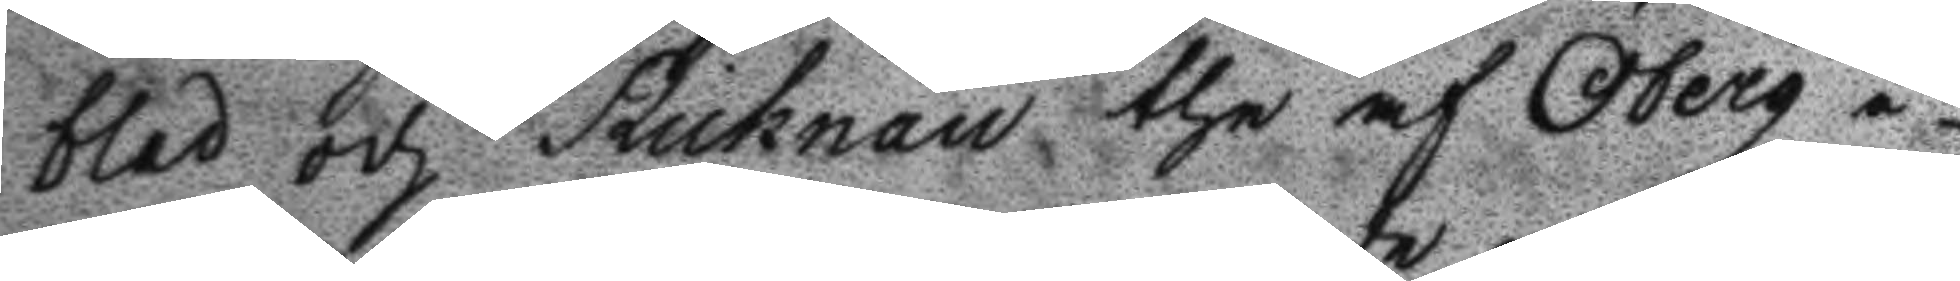blad och Ricknall the af Öberg i¬
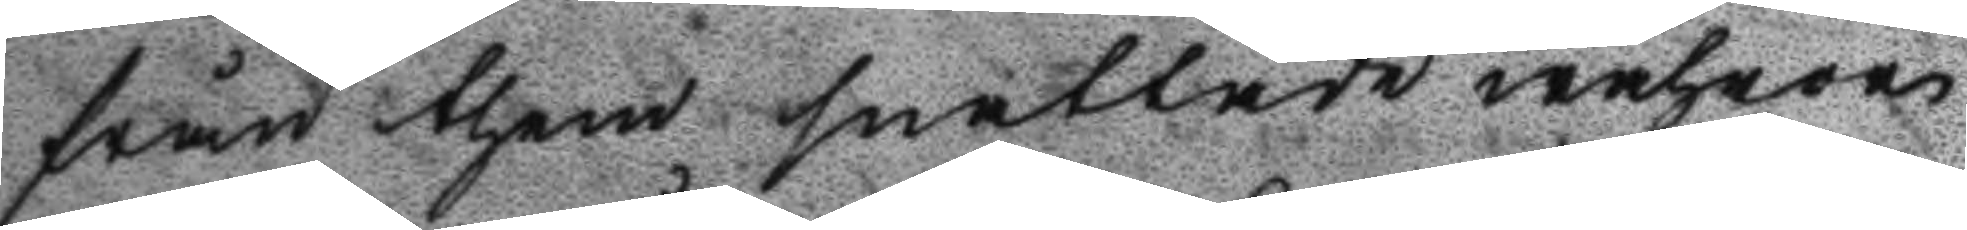från them snattade wahror
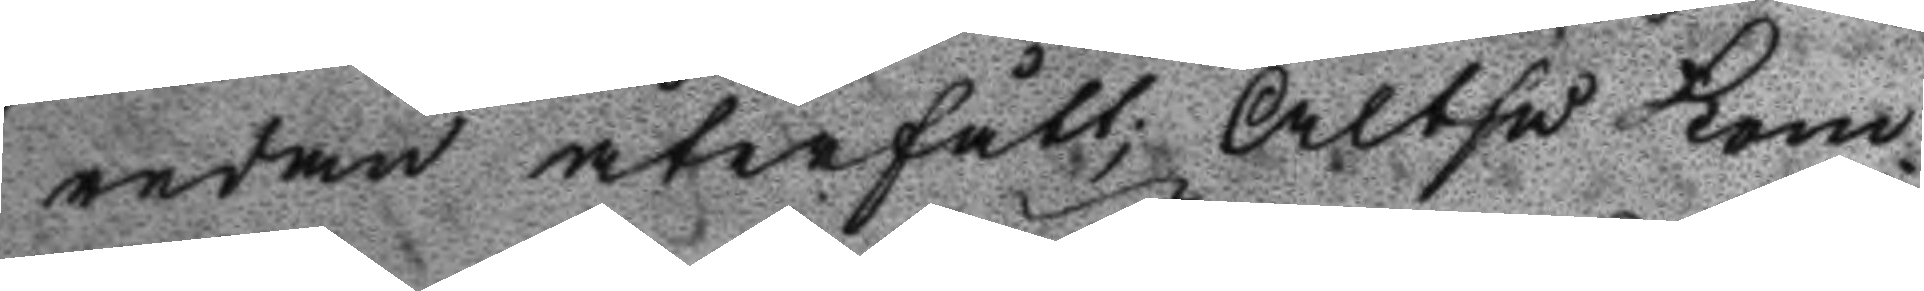redan återfått; Altså kom¬
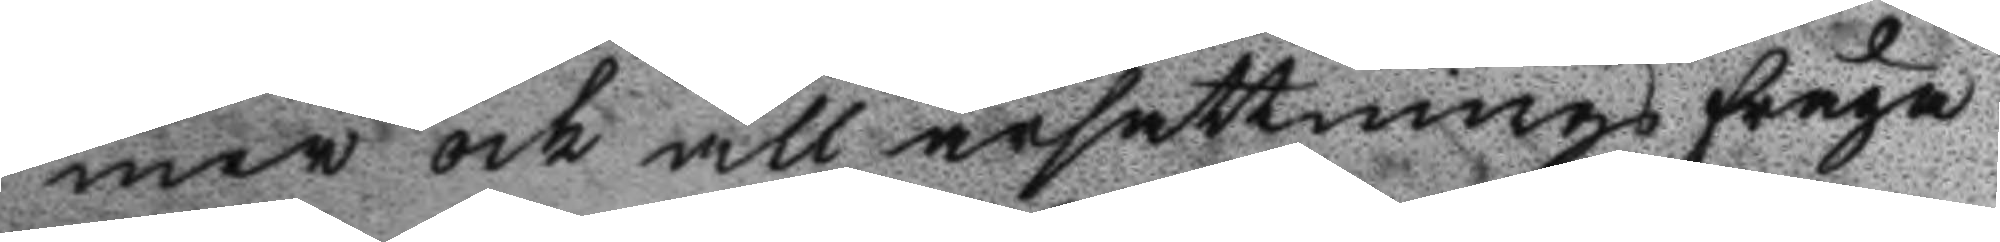mer och all ärsättnings fråga
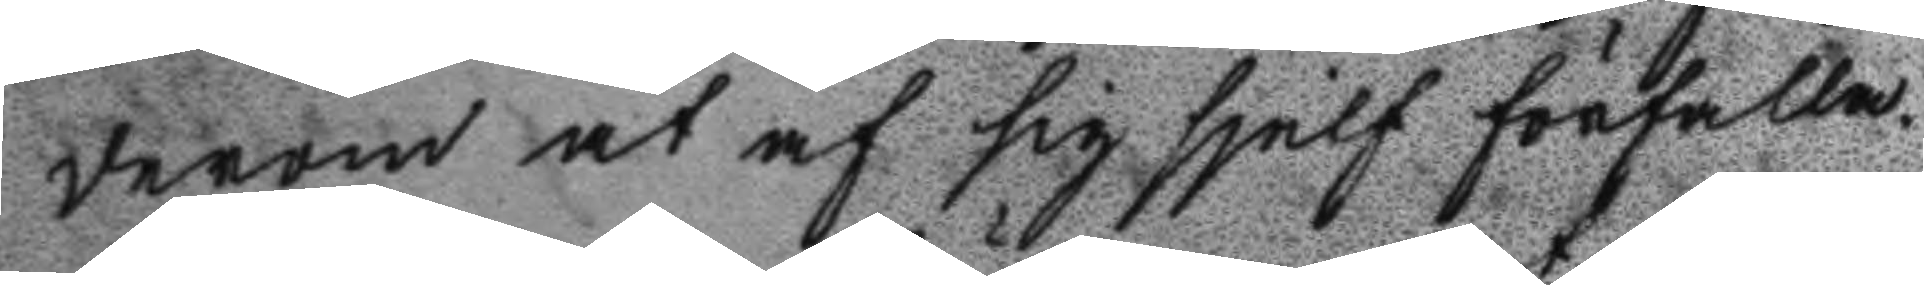derom at af sig sjelf förfalla.
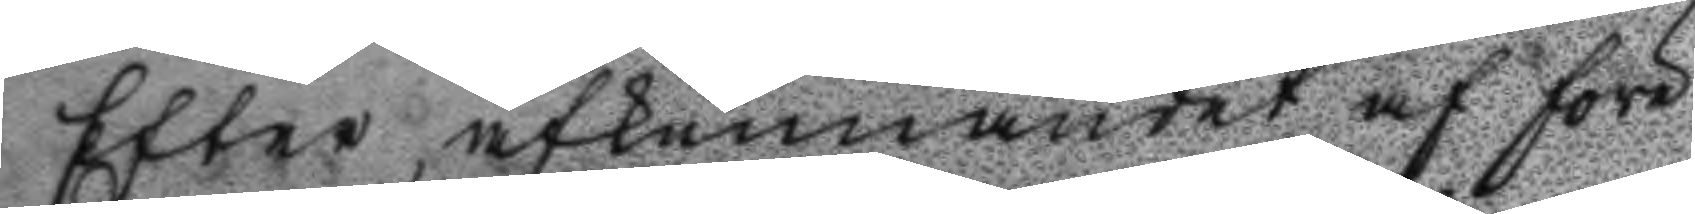Efter afkunnandet af före
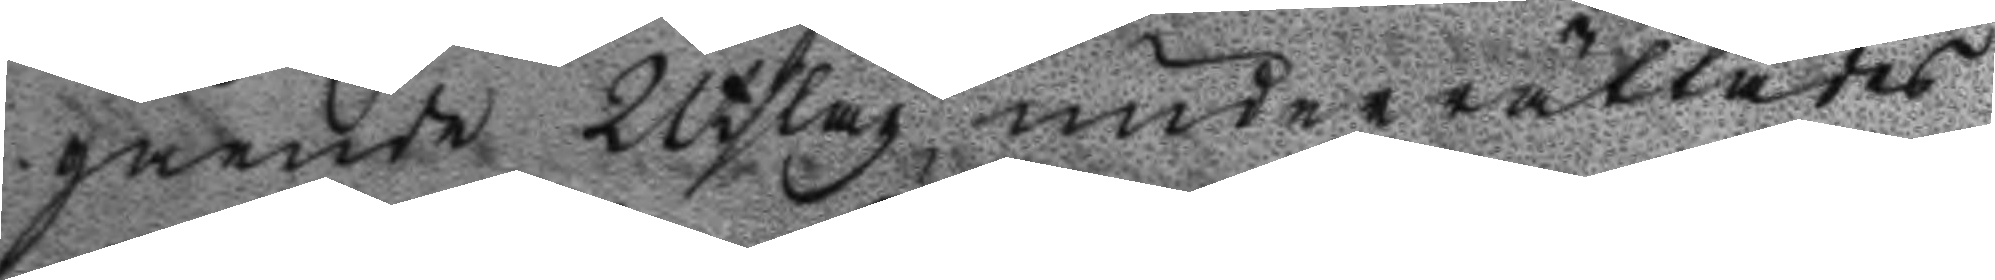gående Utslag, underrättades
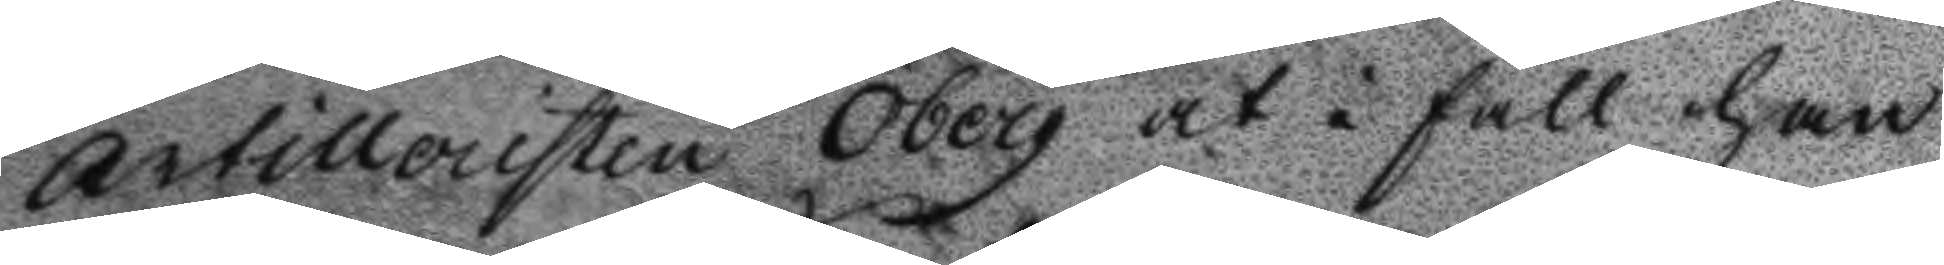Artilleristen Öberg at i fall han
